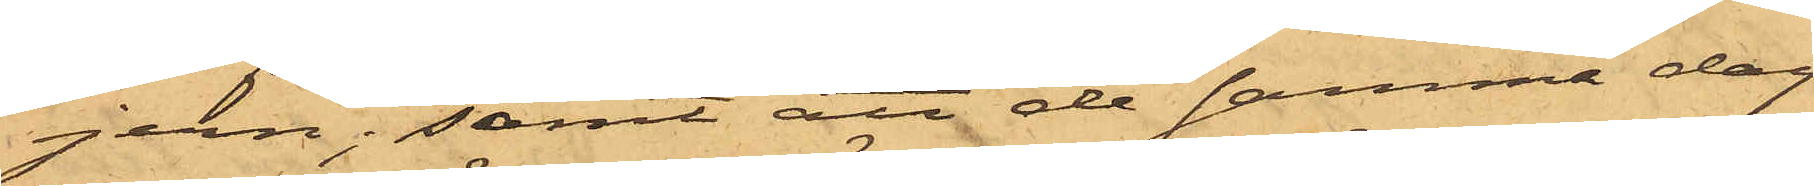jern; samt att de samma dag
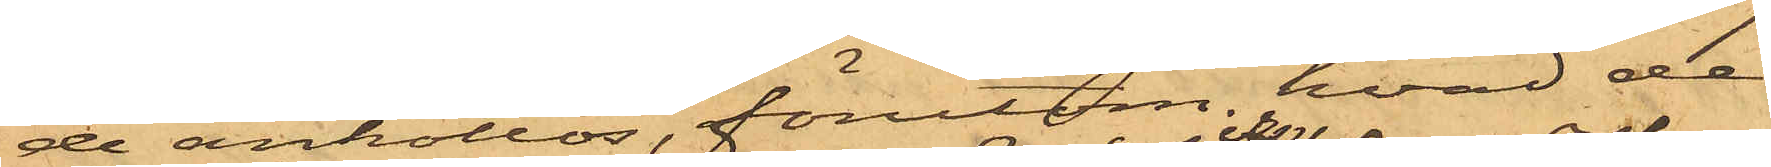de anhöllos, förutom hvad de
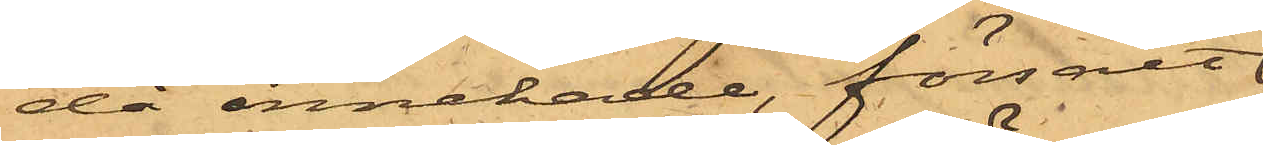då innehade, försålt
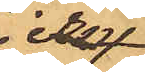jern
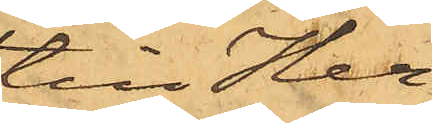till Her¬
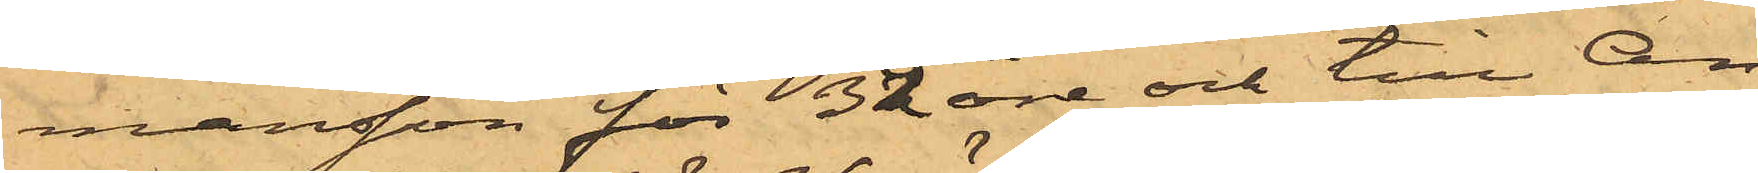mansson för 32 öre och till An¬
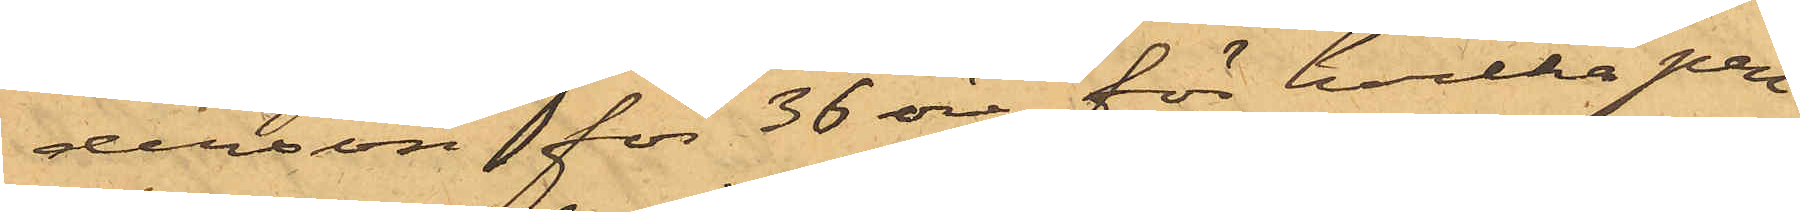derson för 36 öre, för hvilka pen¬
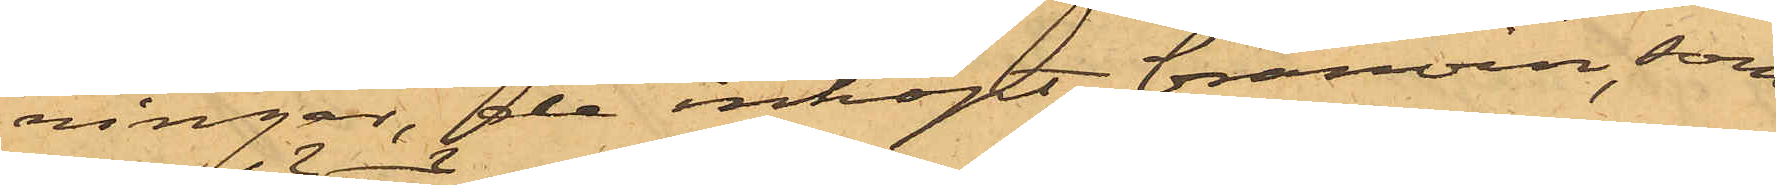ningar, de inköpt brännvin, som
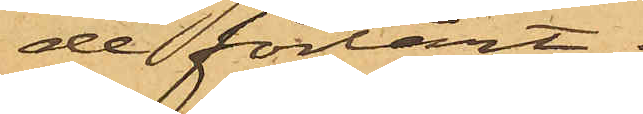de förtärt.
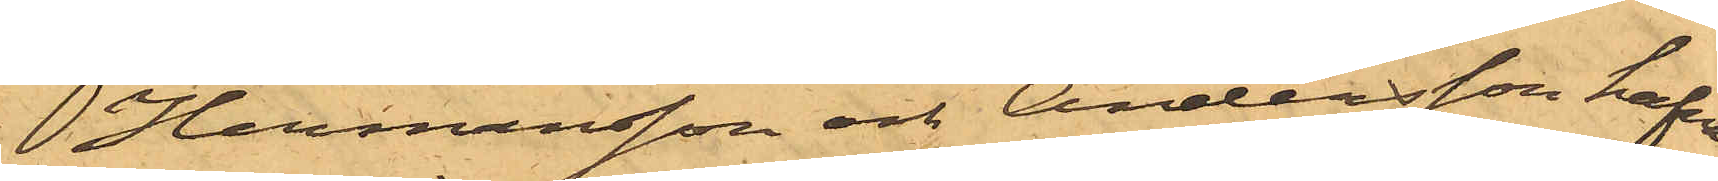Hermansson och Andersson hafva
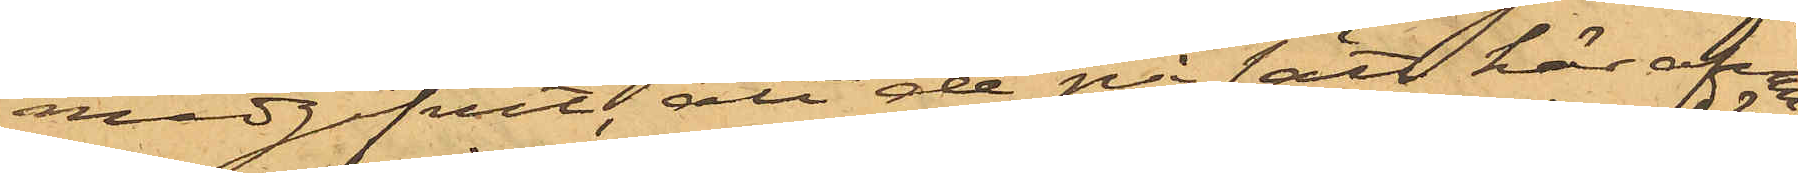medgifvit, att de på sätt här ofvan
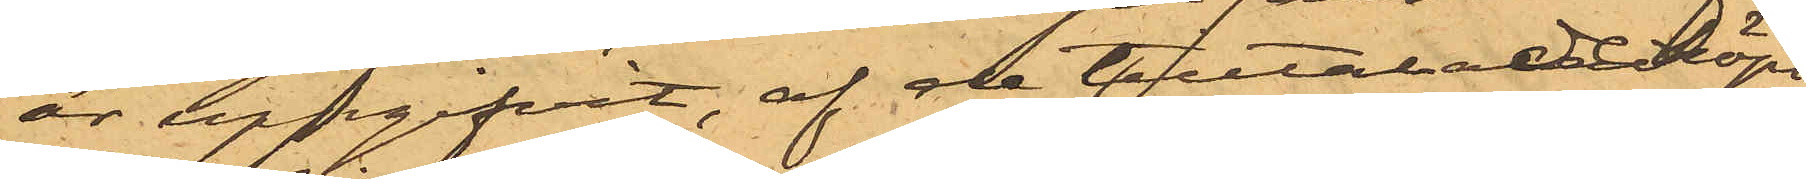är uppgifvit, af de tilltalade köpt
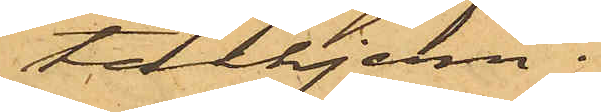tackjern.
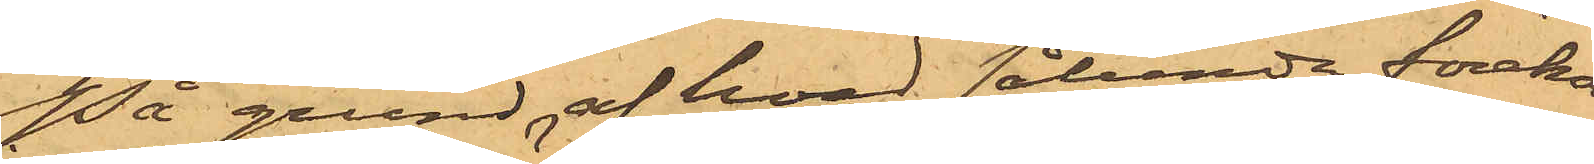På grund af hvad sålunda förekom¬
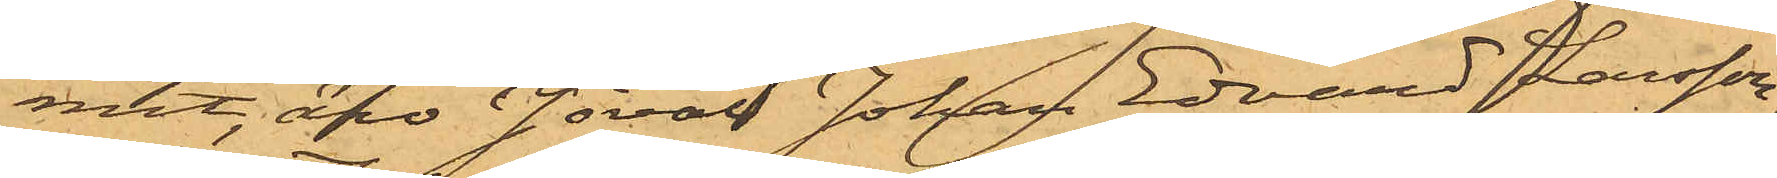mit, äro såväl Johan Edvard Larsson,
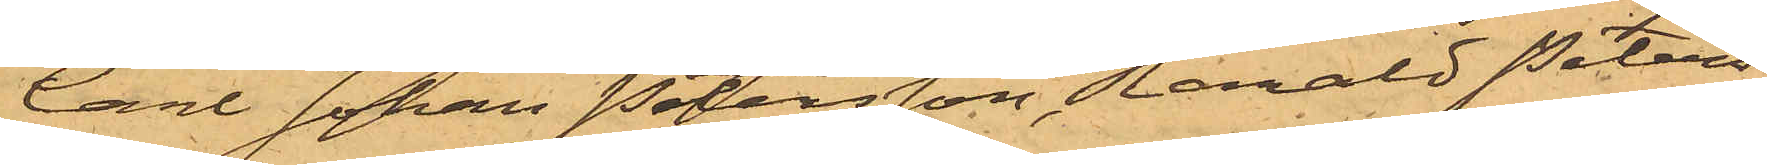Carl Johan Petersson, Harald Peters¬
